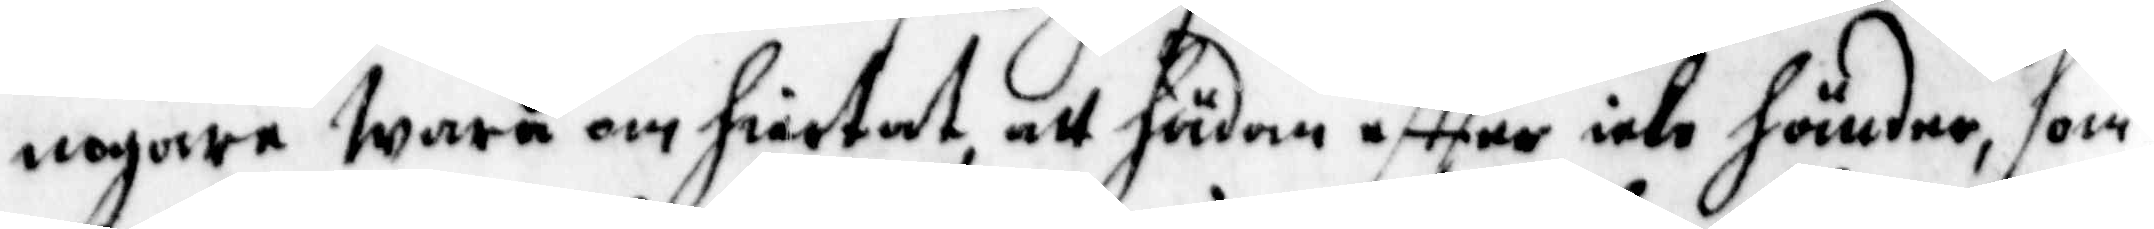nogare wara om hiertat, att hädan effter icke händer, som
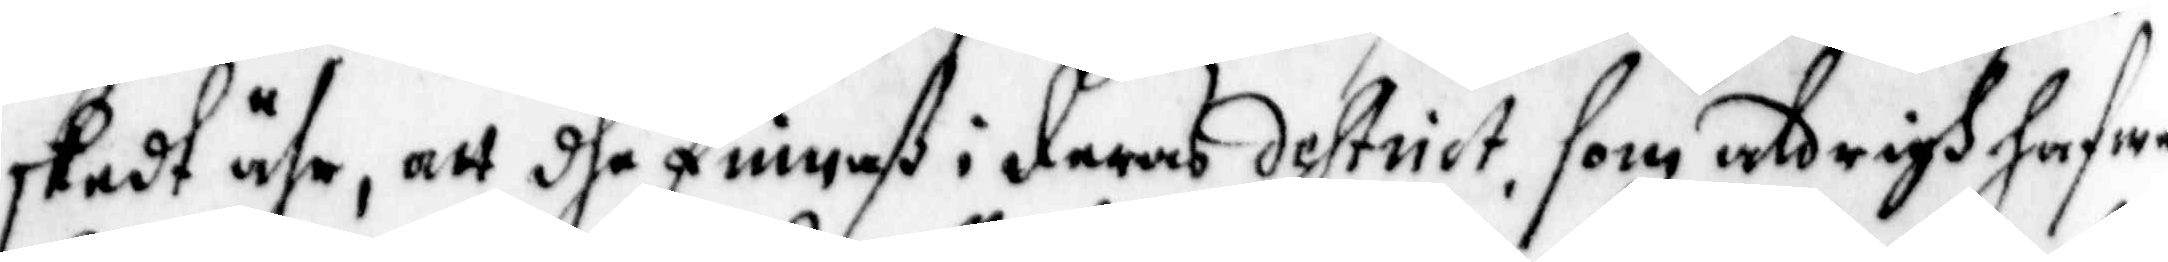skedt ähr, att dhe finnaß i deras destrict, som aldrigh hafwe
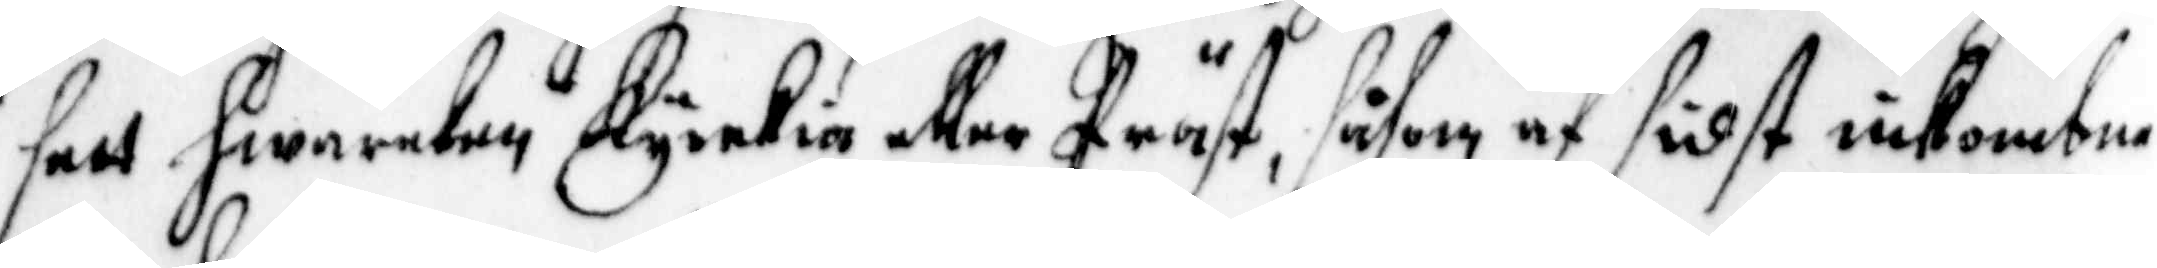sett hwarken Kyrkia eller Prästt, såsom af sidst inkombne
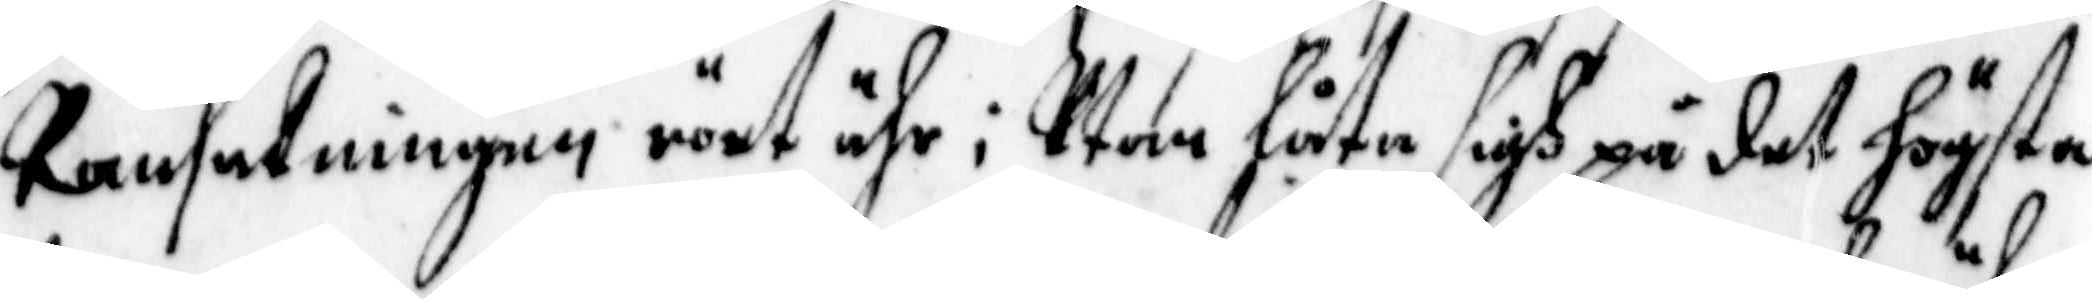Ransakningen rört ähr ; Utan låta sigh på det högsta
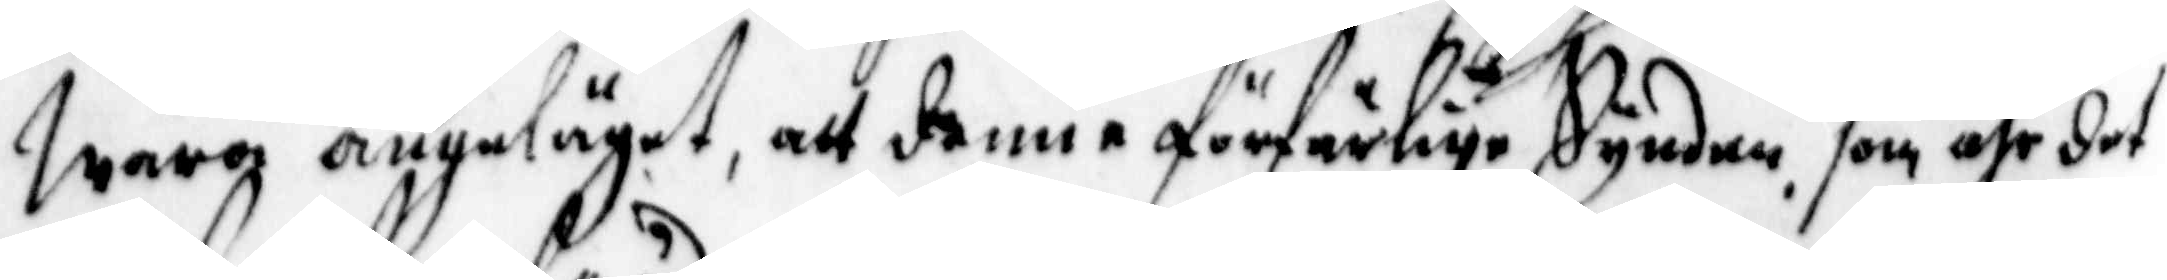wara angeläget, att denne förfärlige Synden som ähr det
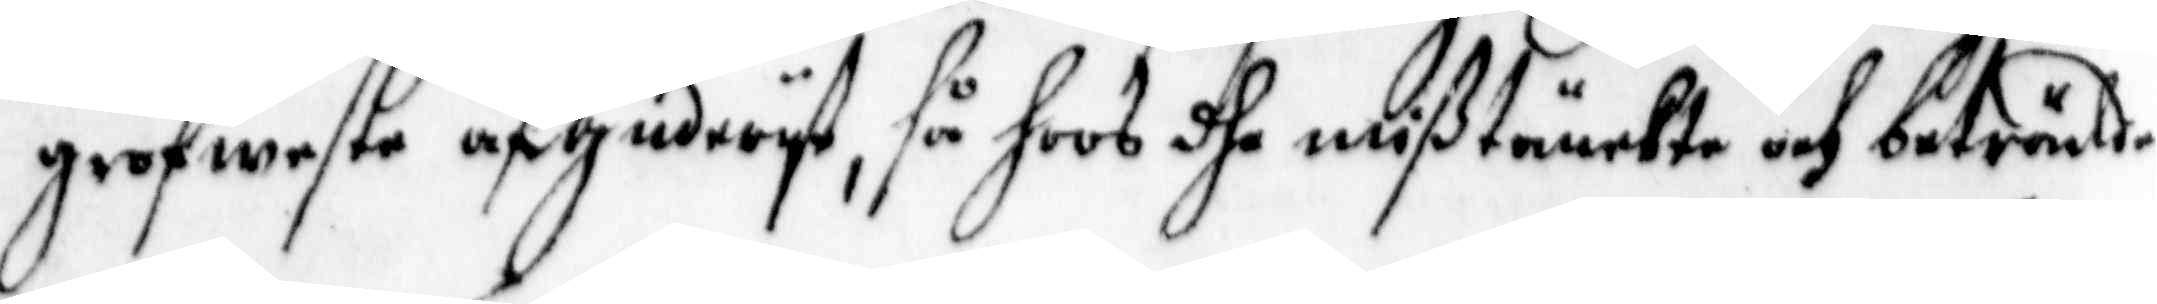grofweste afguderyt, så hoos dhe mißtänkte och beträlde
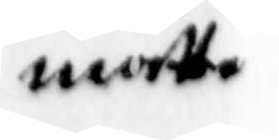måtte
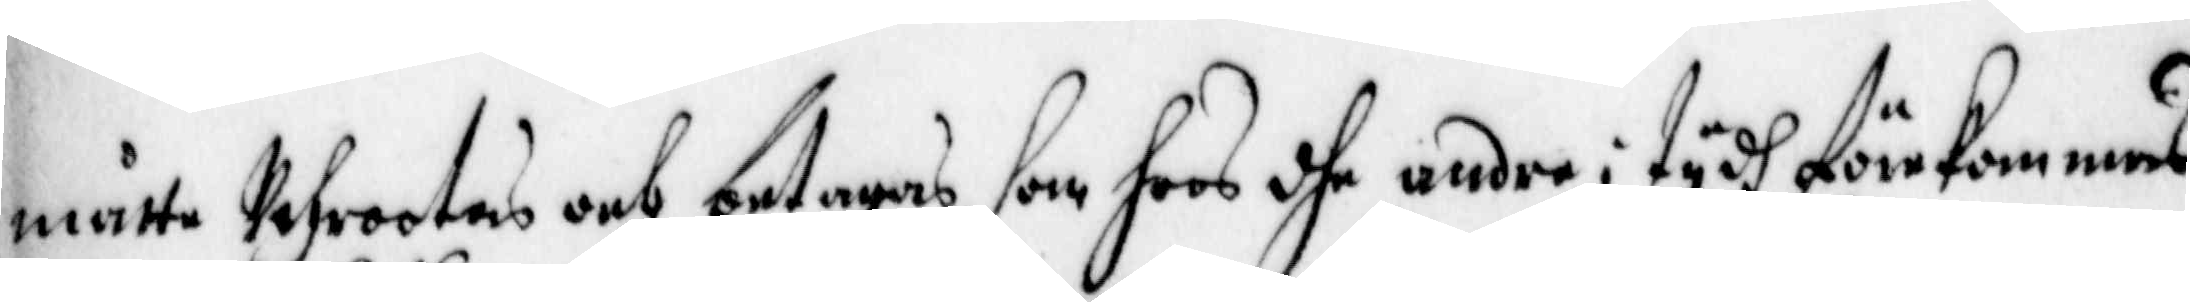måtte uthrootas och betagas, som hoos dhe andre i tydh förekommas,
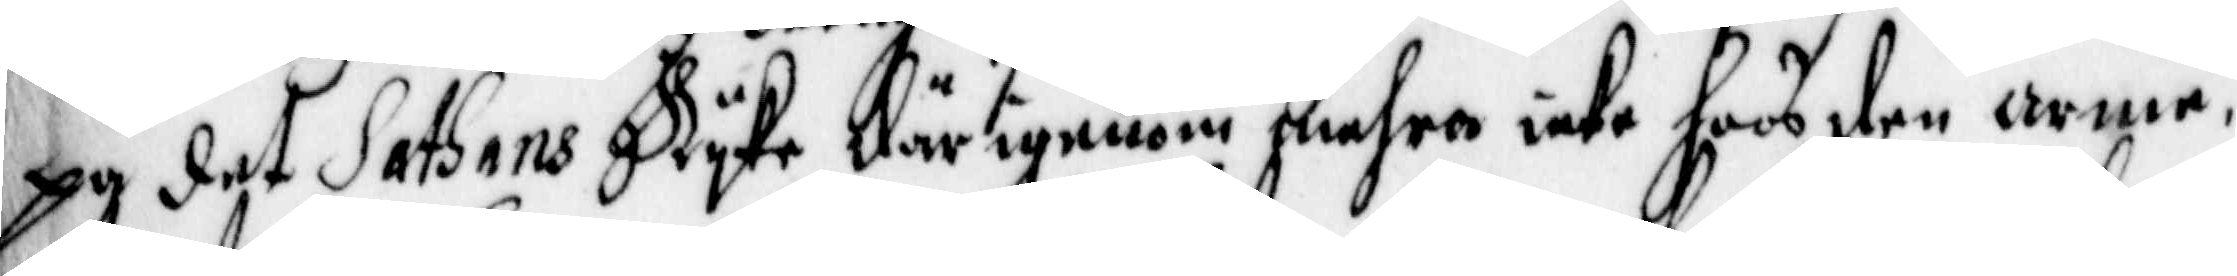på det Sathans Ryke därigenom mehra icke hoos den arme,
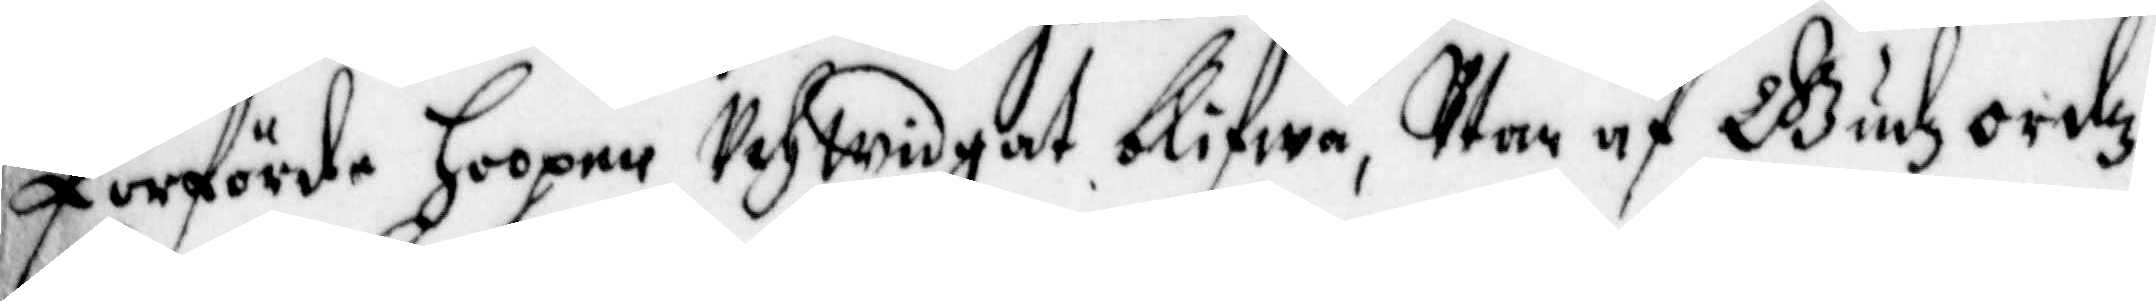förförde Hoopen Uthwidgat blifwa, Utan af Gudz ordz
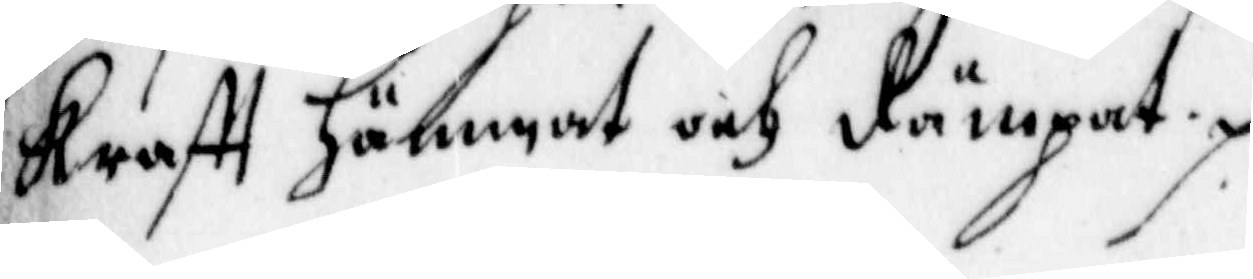krafft hämmat och dämpat.
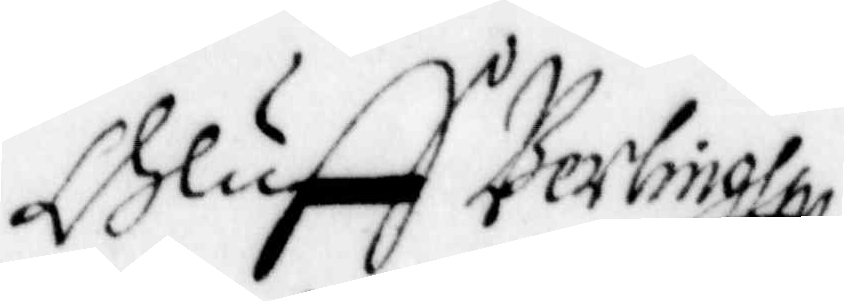Oluff Berling
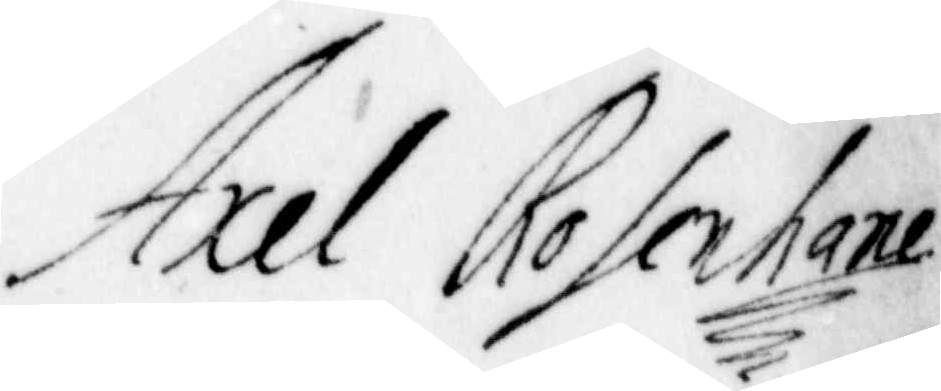Axel Rosenhane
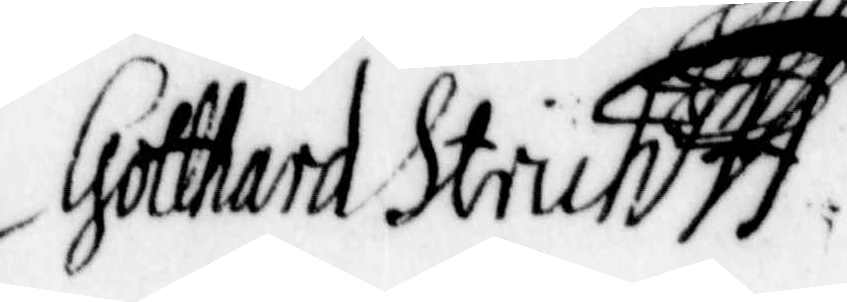Gotthard Struh
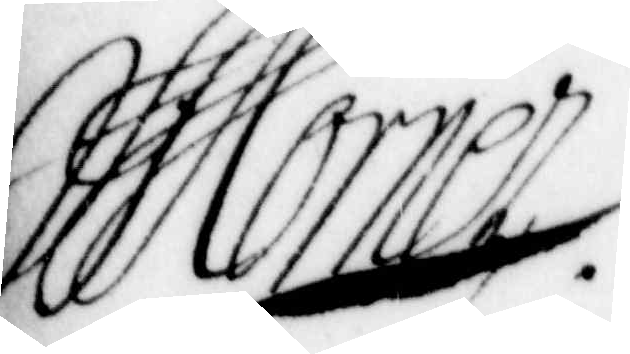Mörner
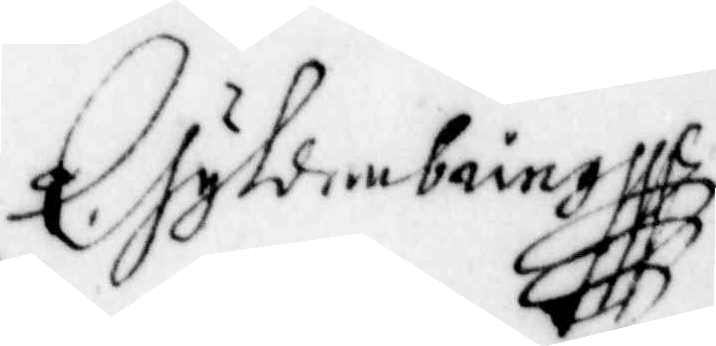Gyldenbring
